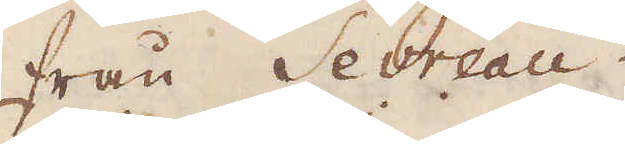från Sevreau.
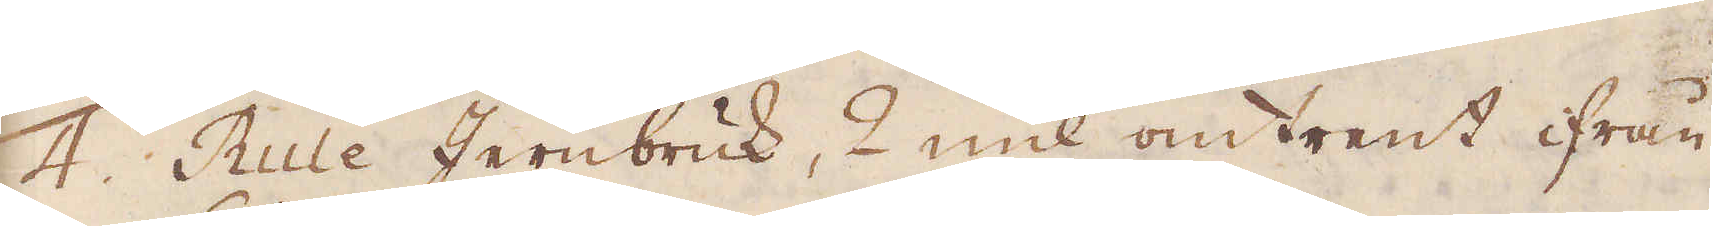4. Rule Jernbruk, 2 mil omtrent ifrån
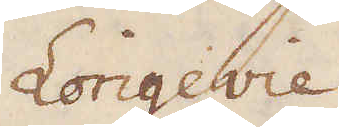Longevie
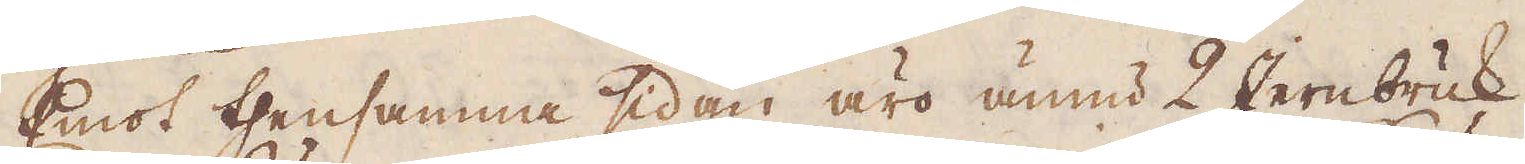Emot thensamma sidan äro ännu 2 Jernbruk
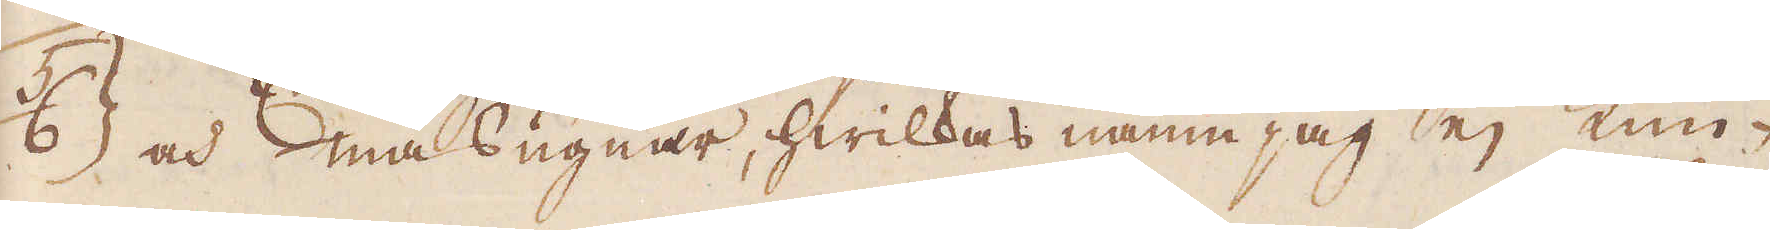63 och masugnar, hwilkas namn jag ej kun-
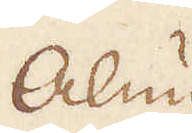Anun
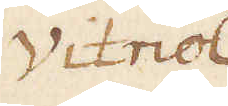Vitriol
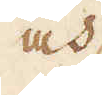och
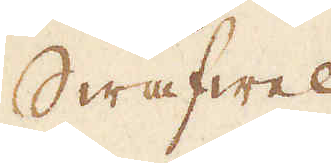Swafwel
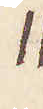11
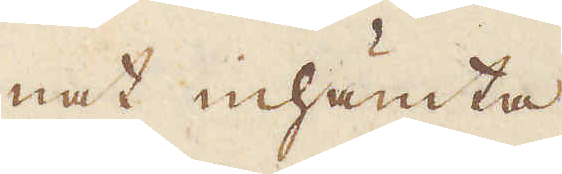nat inhämta.
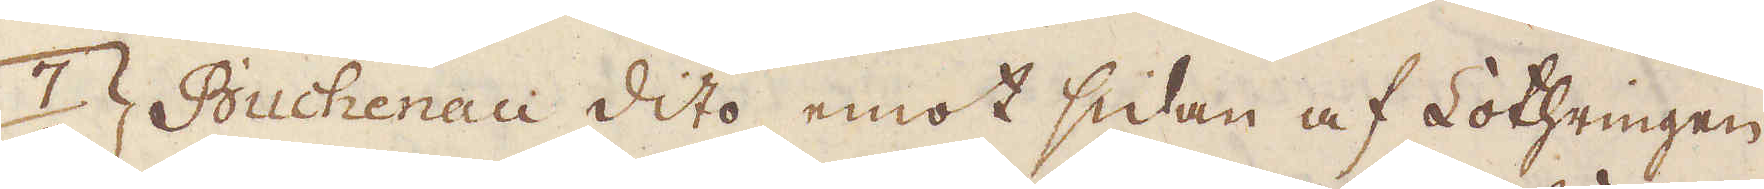7. Buchenau dito emot sidan af Lothringen.
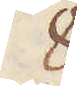8.
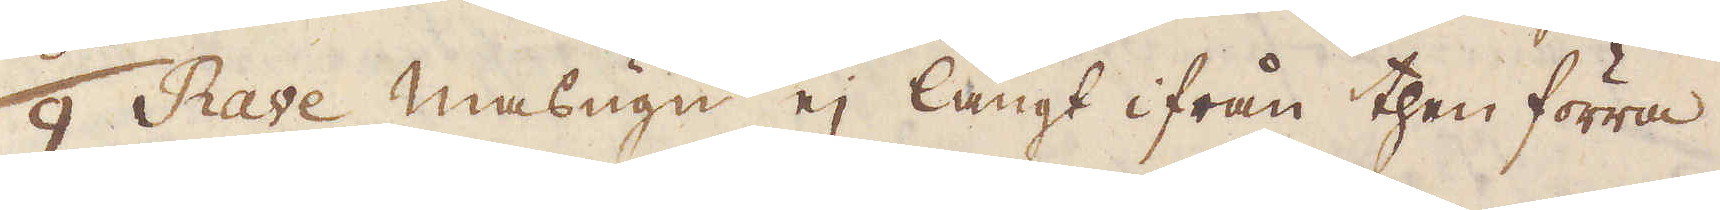9. Rave masugn ej långt ifrån then förra.
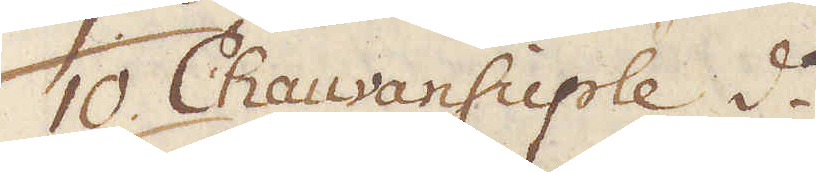10. Chauvansuple d:o
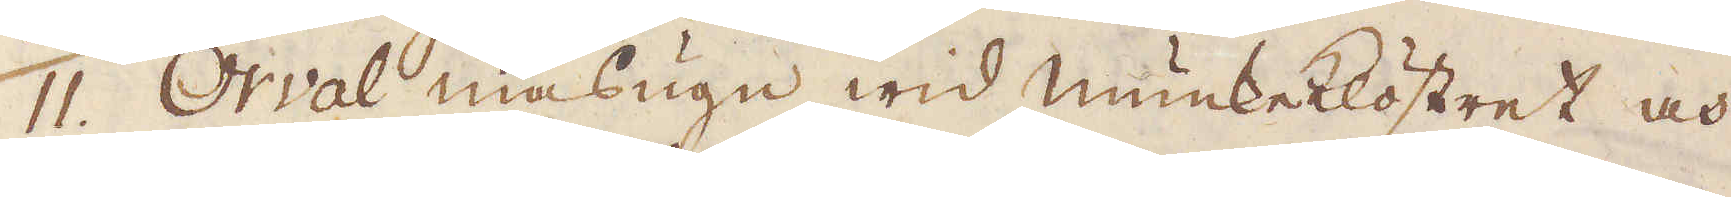11. Orval masugn wid munkeklöstret, och
